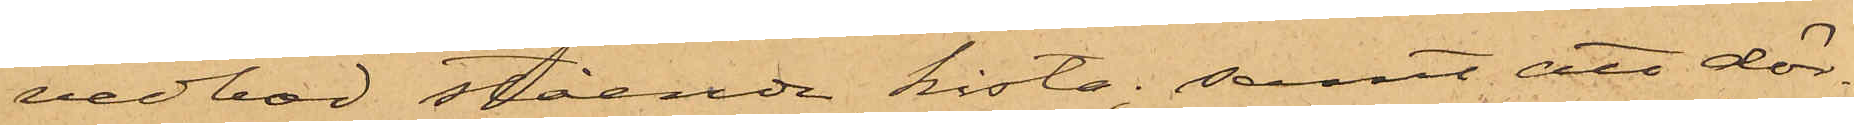vedbod stående kista; samt att dör¬
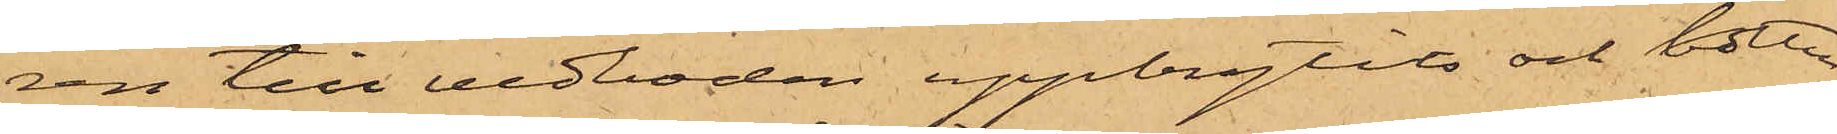ren till vedboden uppbrytits och botten
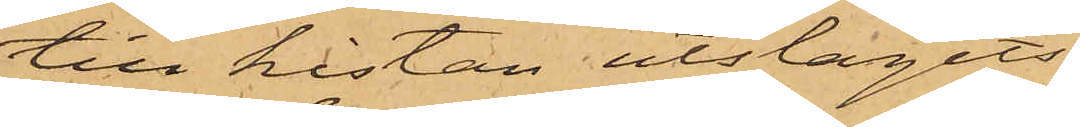till kistan utslagits.
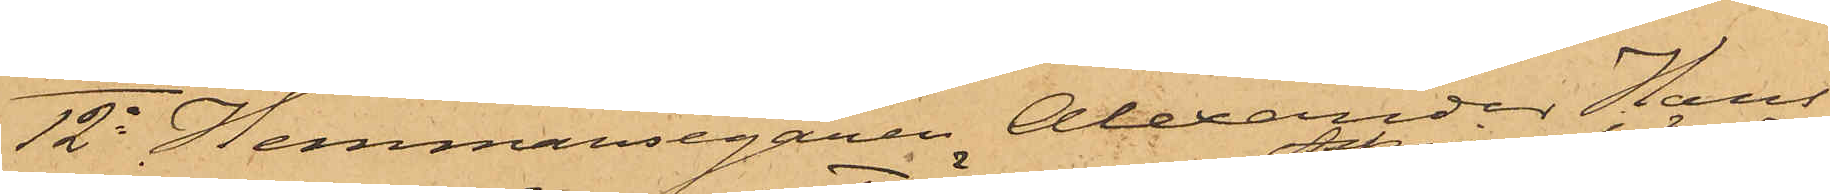12o Hemmansegaren Alexander Hans¬
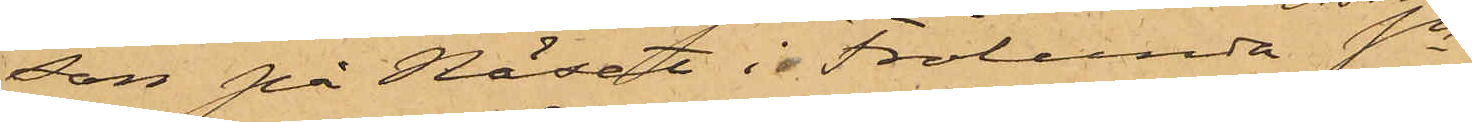son på Näset i Frölunda Sn
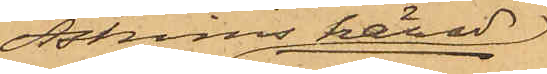Askims härad
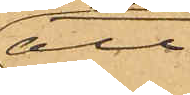att
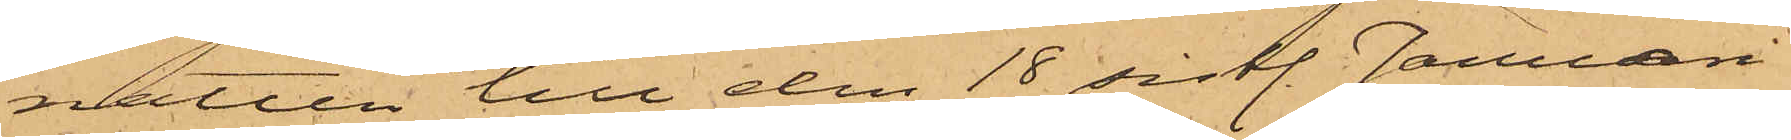natten till den 18 sistl. Januari
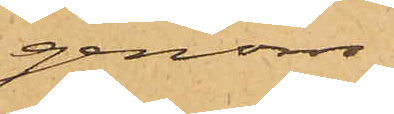genom
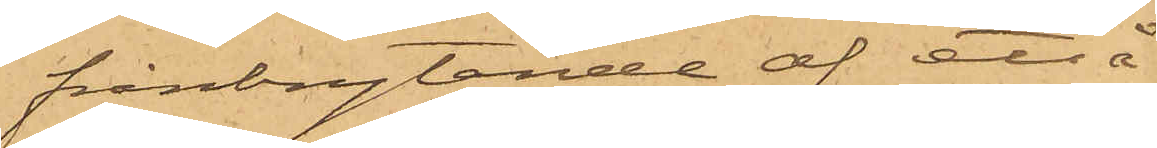frånbrytande af ett å
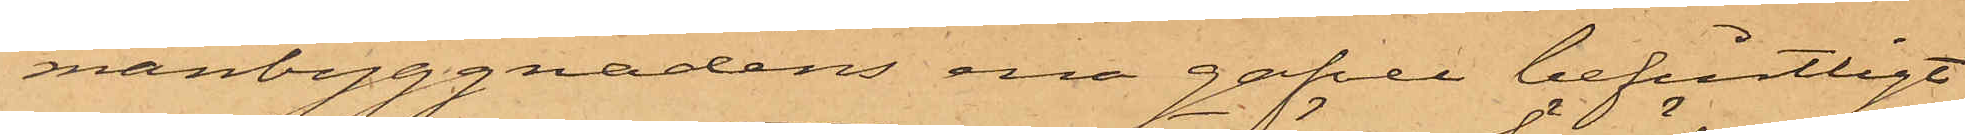manbyggnadens ena gafvel befintligt
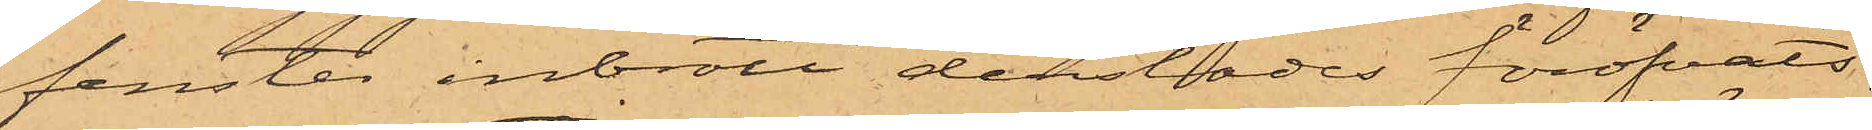fenster inbrott derstädes föröfvats,
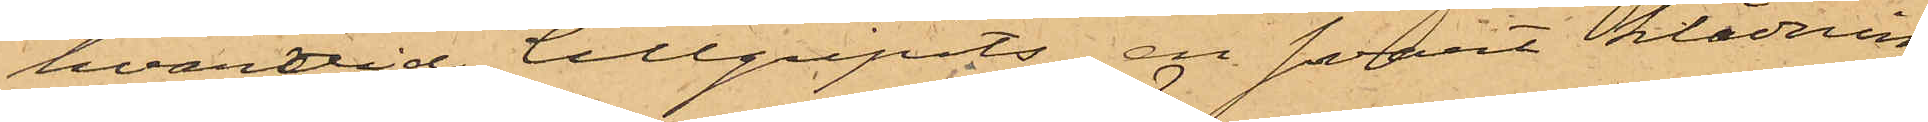hvarvid tillgripits en svart klädning
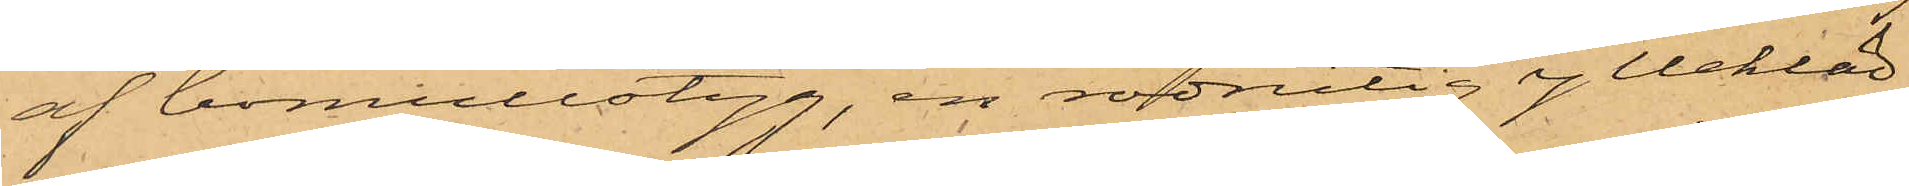af bomullstyg, en rödrutig yllekläd¬
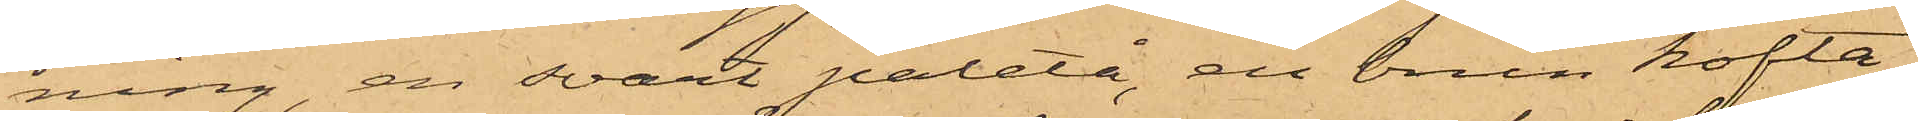ning, en svart paletå, en brun kofta
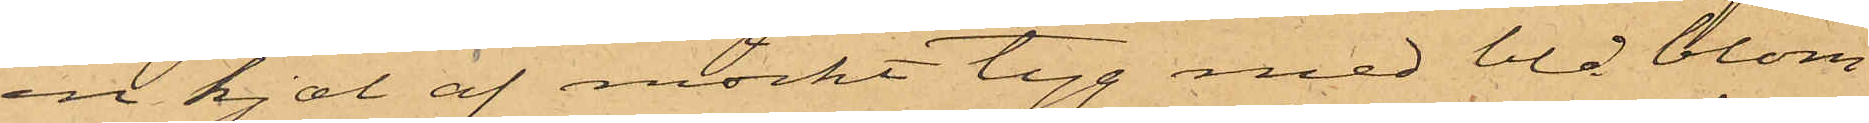en kjol af mörkt tyg med blå blom¬
